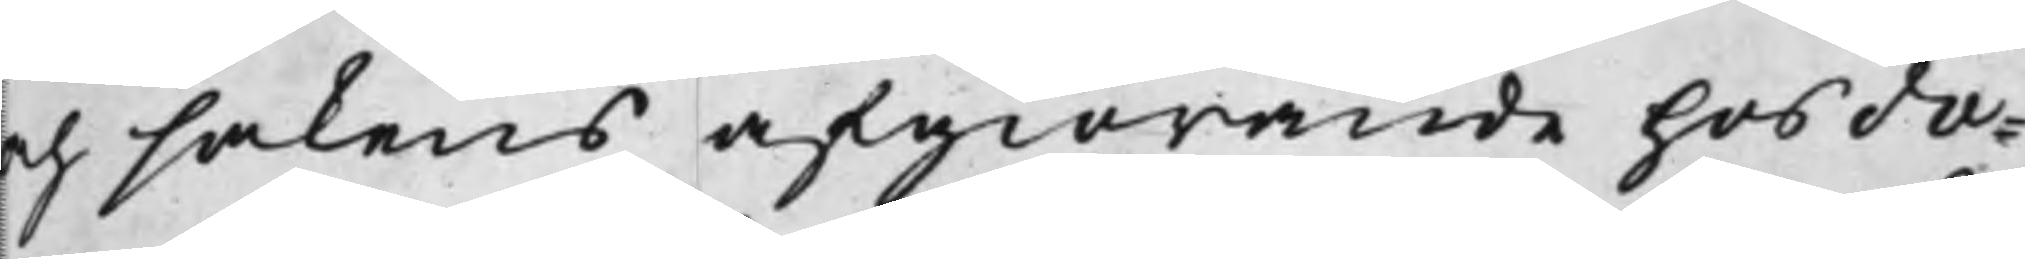och sakens afgiörande hos dä¬
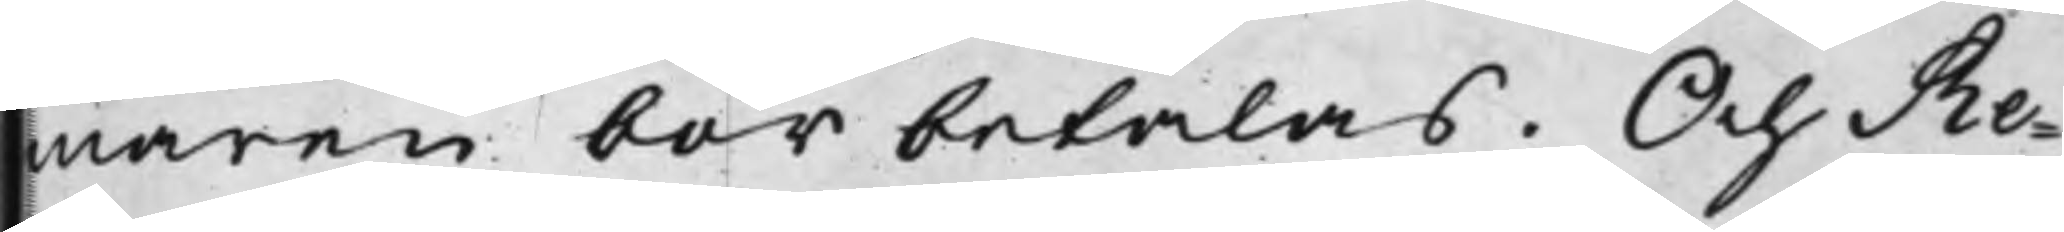maren bör betalas. Och Re¬
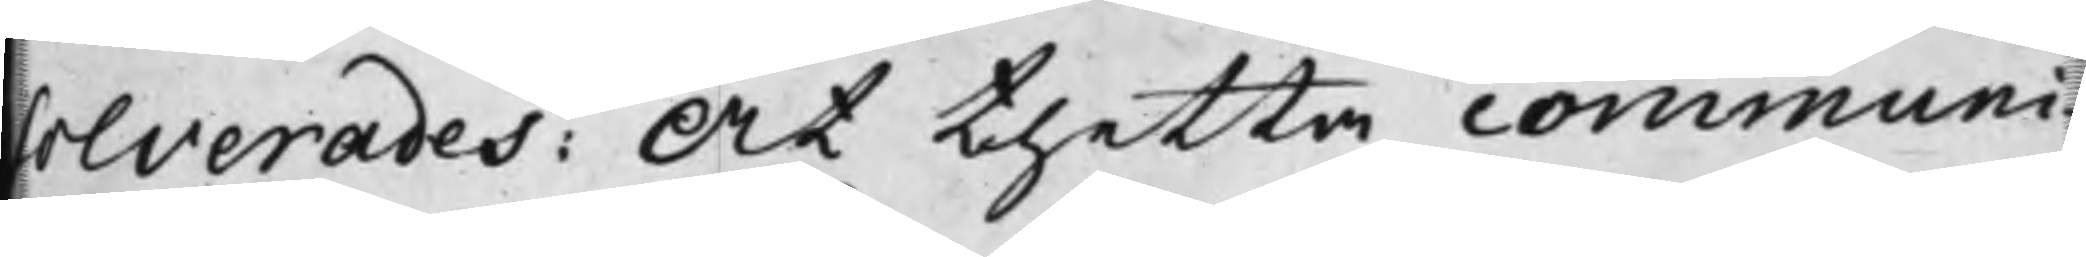solverades: At thetta communi¬
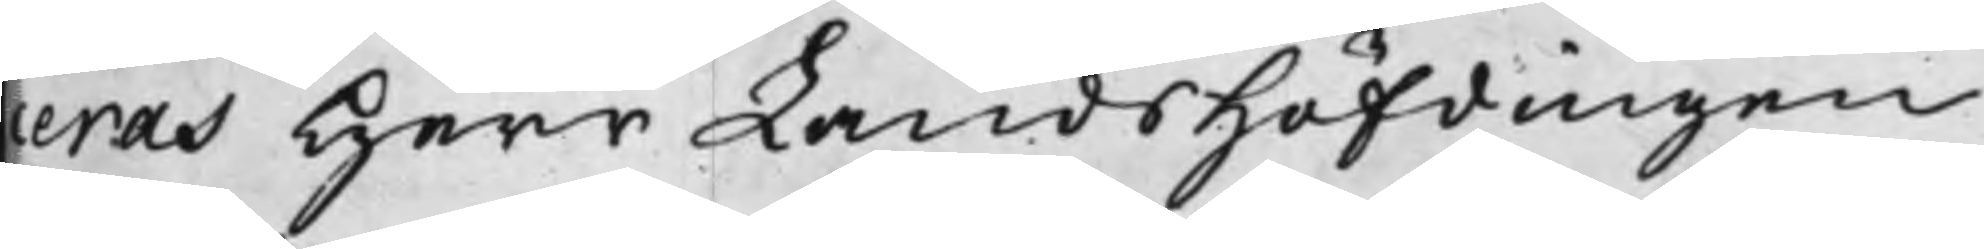eras Herr LandsHöfdingen
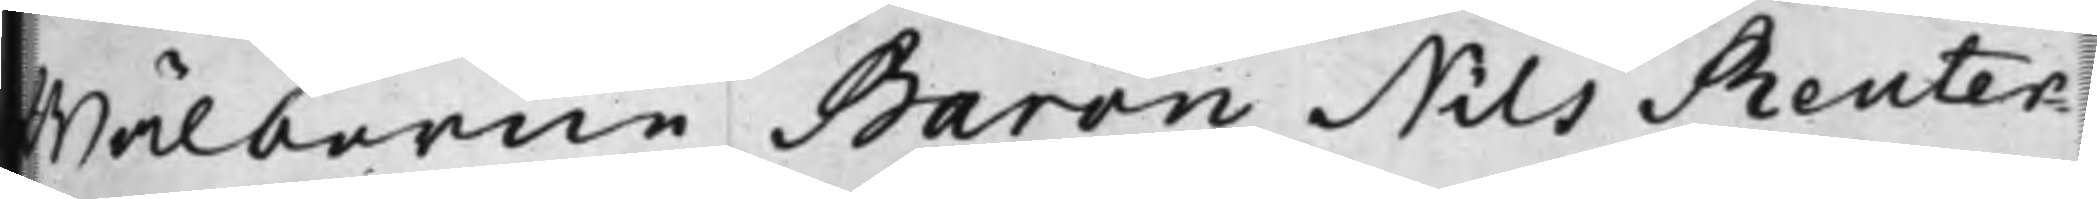rina von Pst theröfwer, at henwälborne Baron Nils Reuter¬
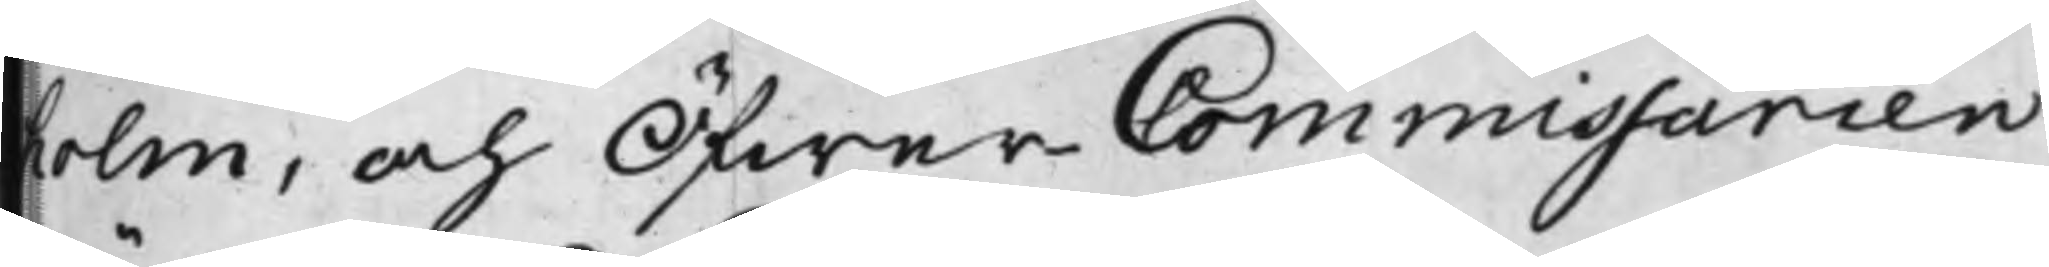LandsHöfdingen Wälborne Baholm, och Öfwer Commissarien
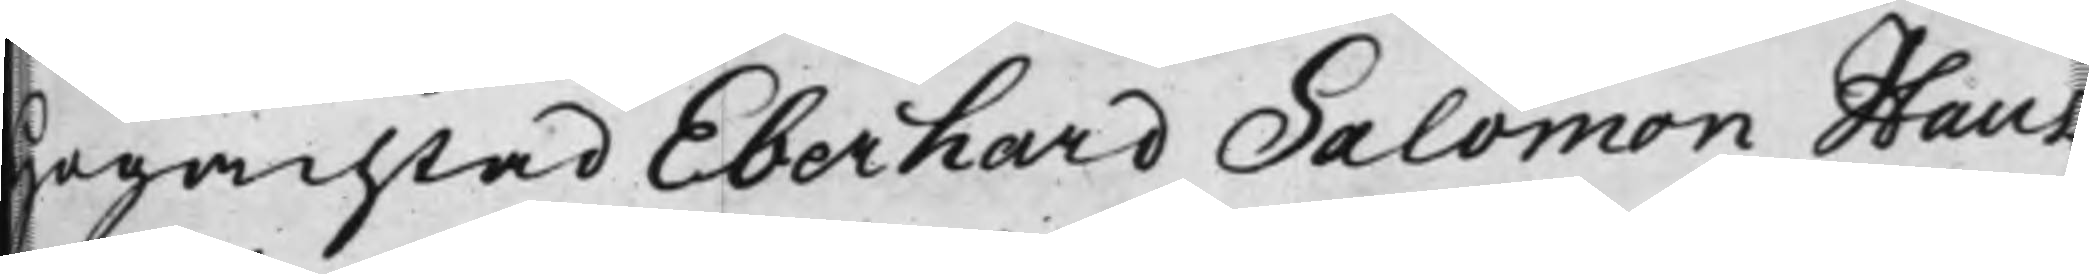Hagachtad Eberhard Salomon Staut¬
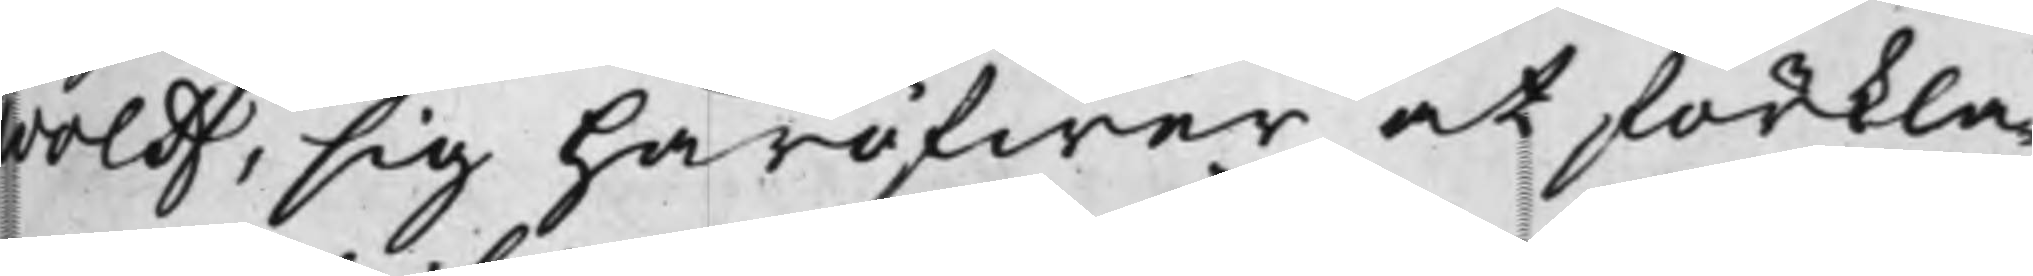wolff, sig häröfwer at förkla¬
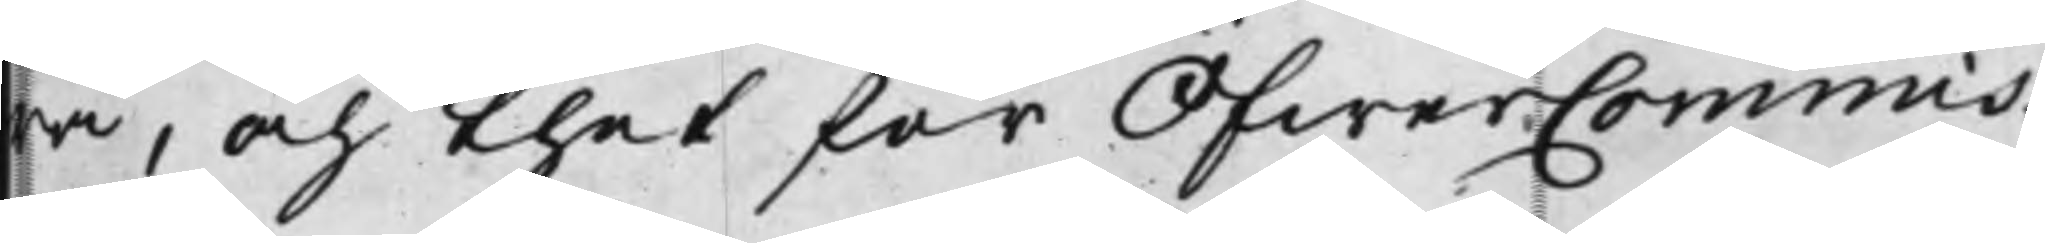wa, och thet för ÖfwerCommis¬
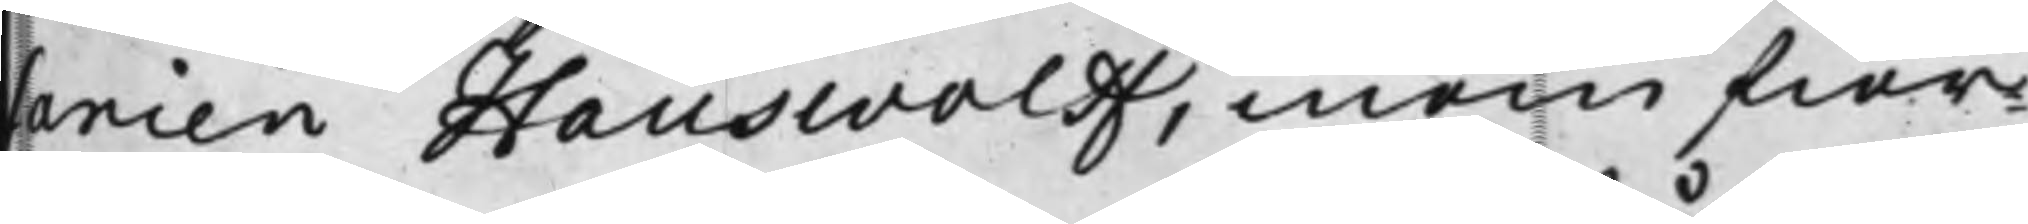anien Hauswolff, inom fier¬
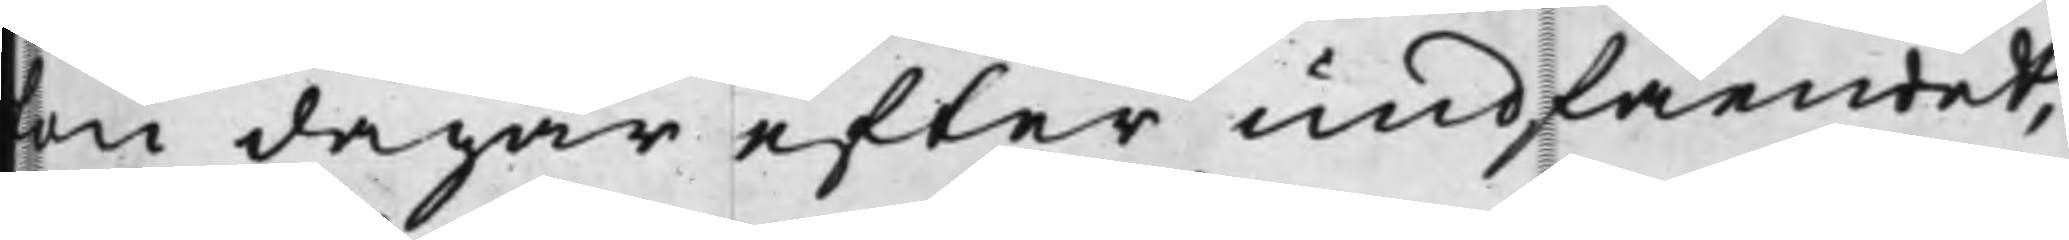en dagar efter undfåendet
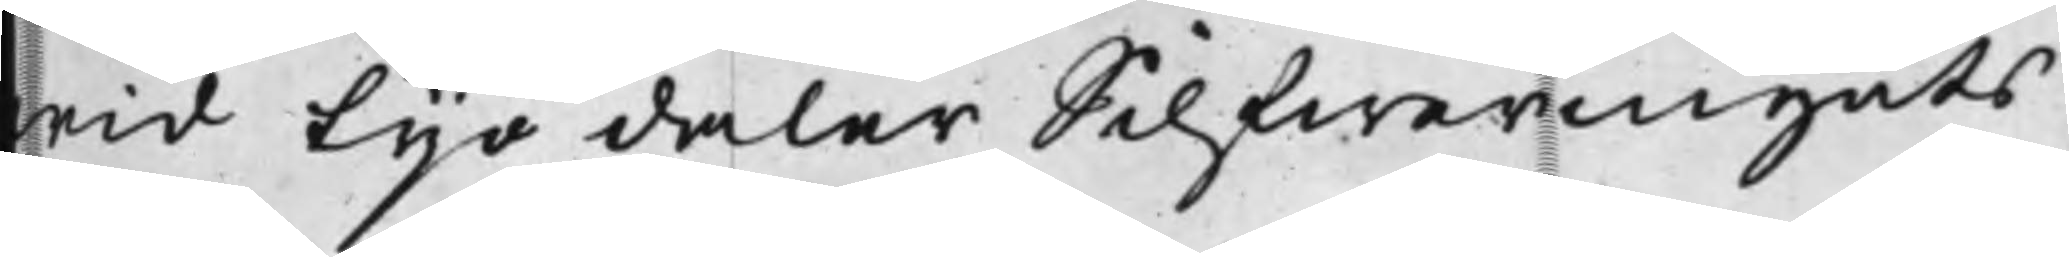wid tyo daler Silfwermynts
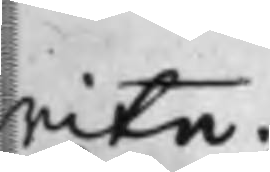mite.
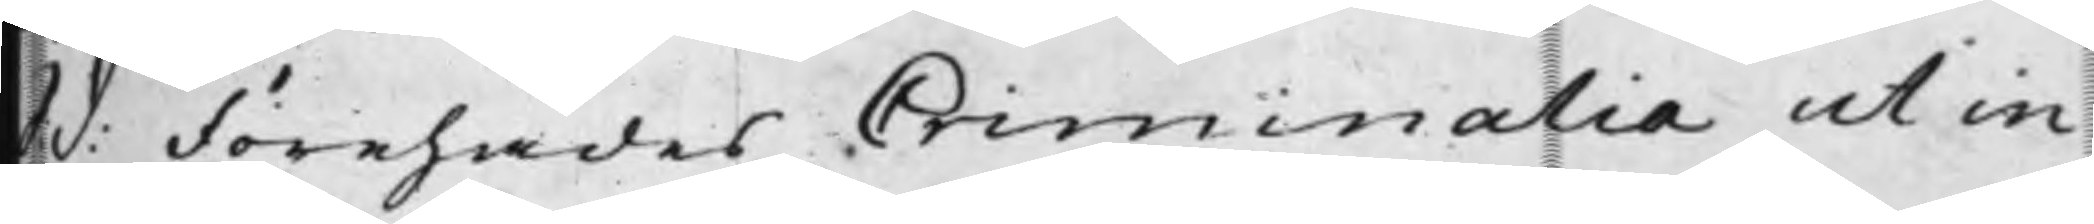 d: Förehades Criminalia ut in 
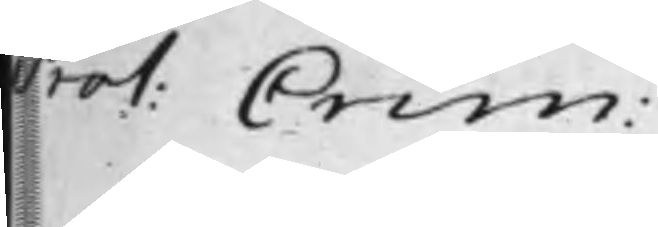bat. Crim 
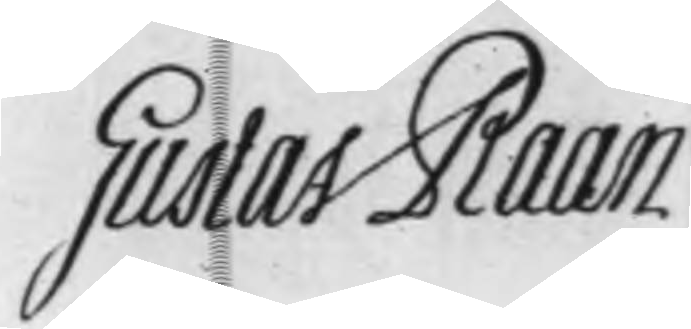Gudlat Daan
